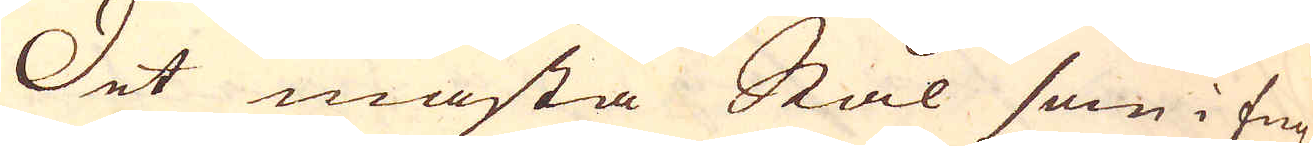Det mästa Stål som i Eng-
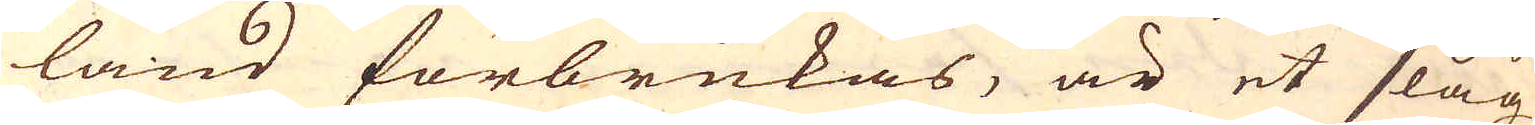land förbrukas, är et slag
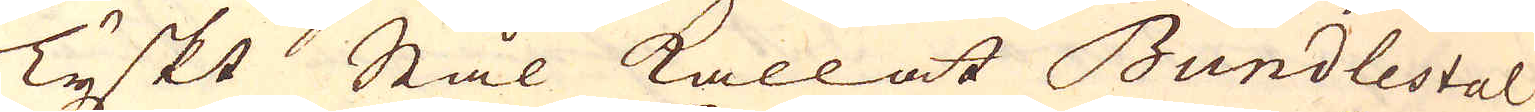Tyskt Stål kallat Bundlestal
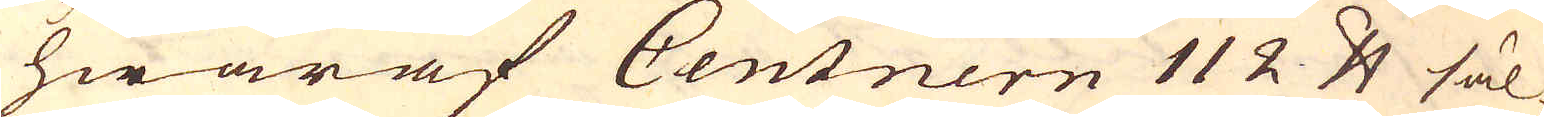hwaraf Centnern 112 skålpund säl-
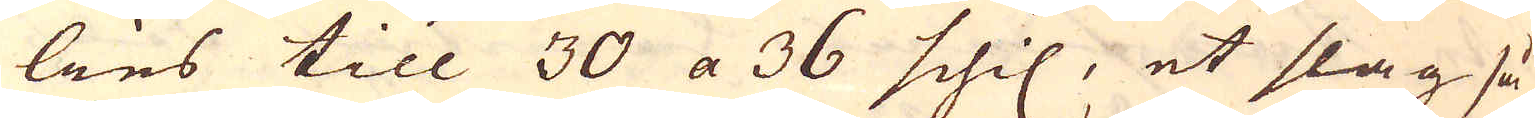lies till 30 a 36 schil, et slag så
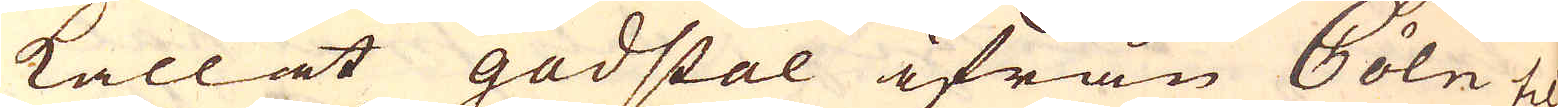kallat gadstal ifrån Cöln til-
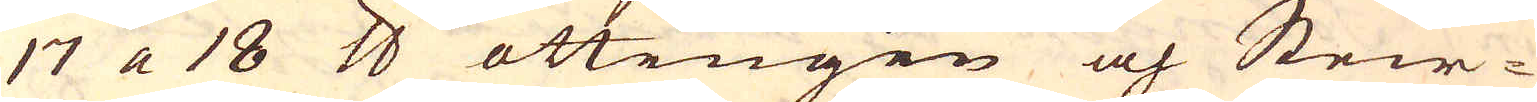17 a 18 skålpund ottingen och Steir-
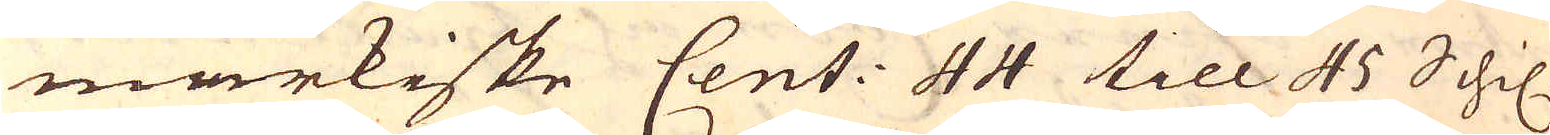markiske Cent: 44 till 45 Schil.
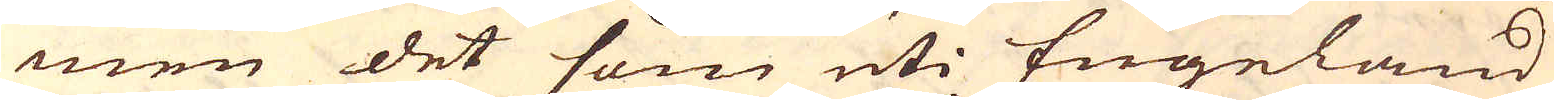men det som uti Engeland
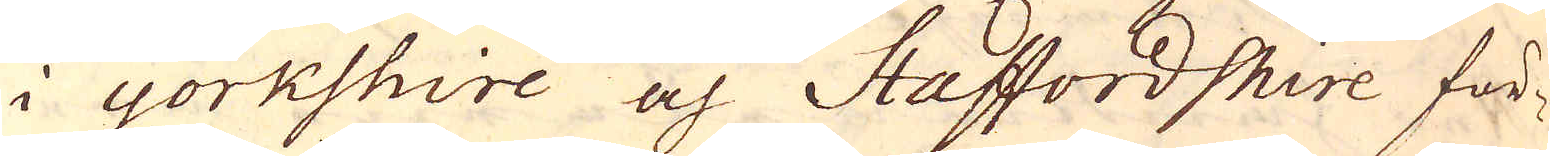i Yorkshire och Staffordshire för-
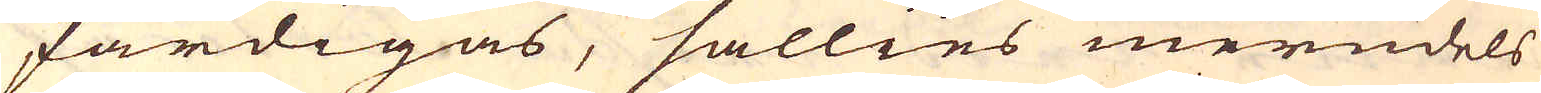färdigas, sällies merndels
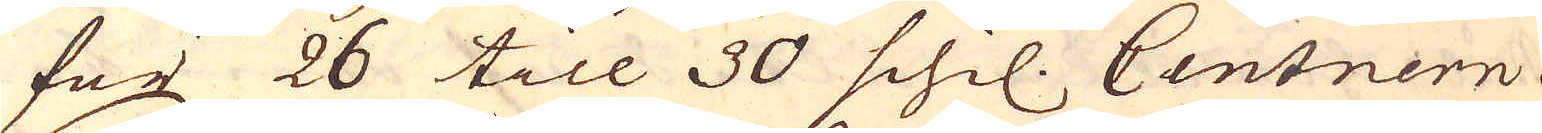för 26 till 30 schil. Centnern.
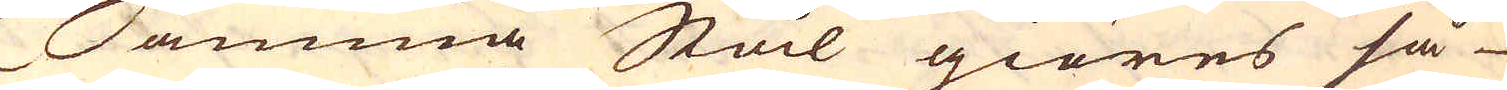Samma Stål giöres så
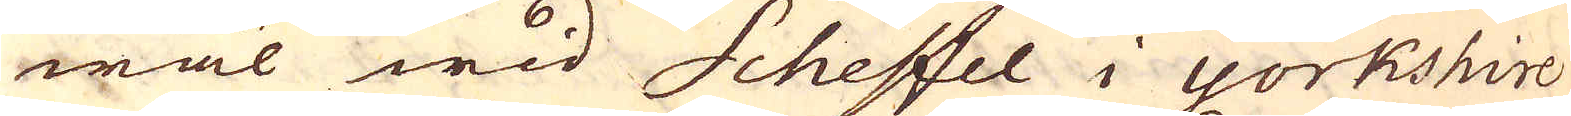wäl wid Scheffel i Yorkshire
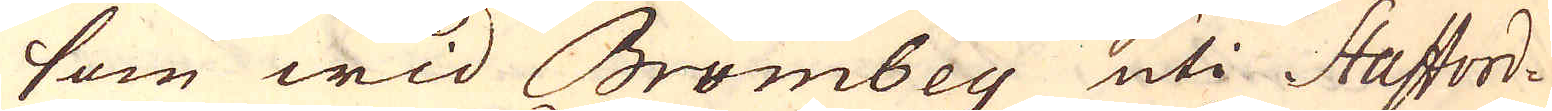som wid Brumbey uti Stafford-
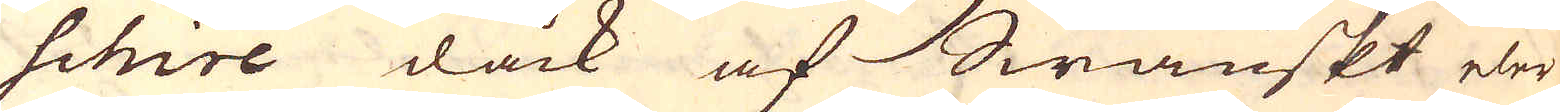schire dåck af Swänskt eler
